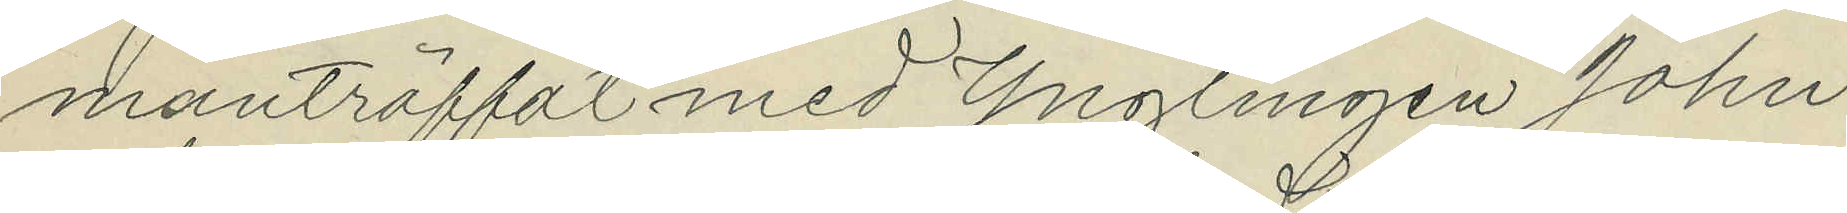manträffat med Ynglingen John
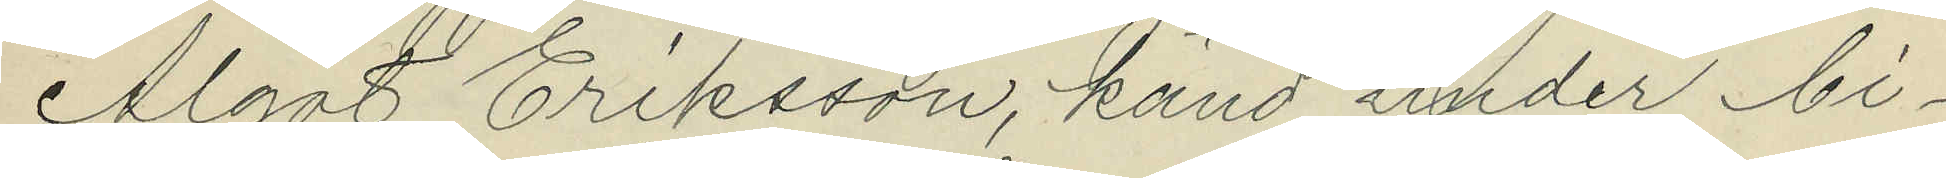Algot Eriksson, känd under bi¬
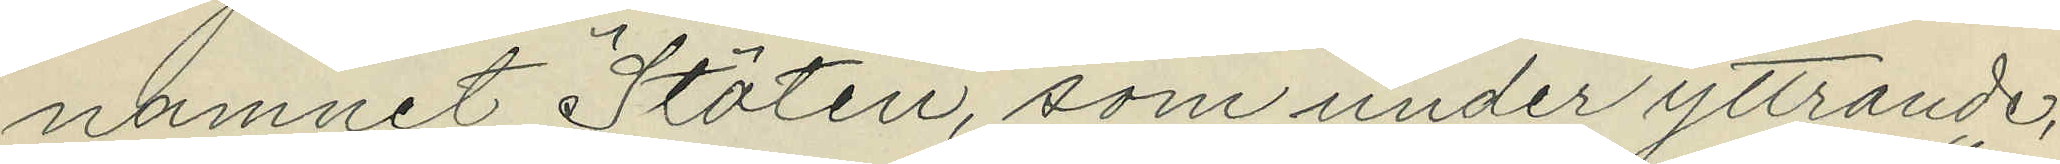namnet "Stöten", som under yttrande,
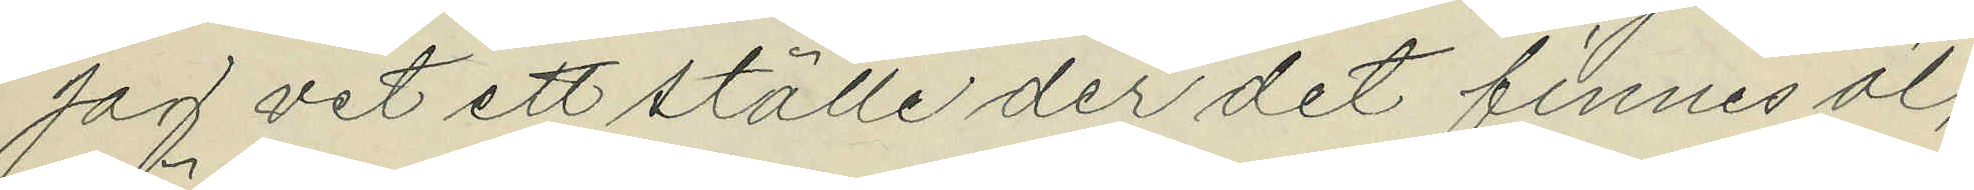"jag vet ett ställe der det finnes öl",
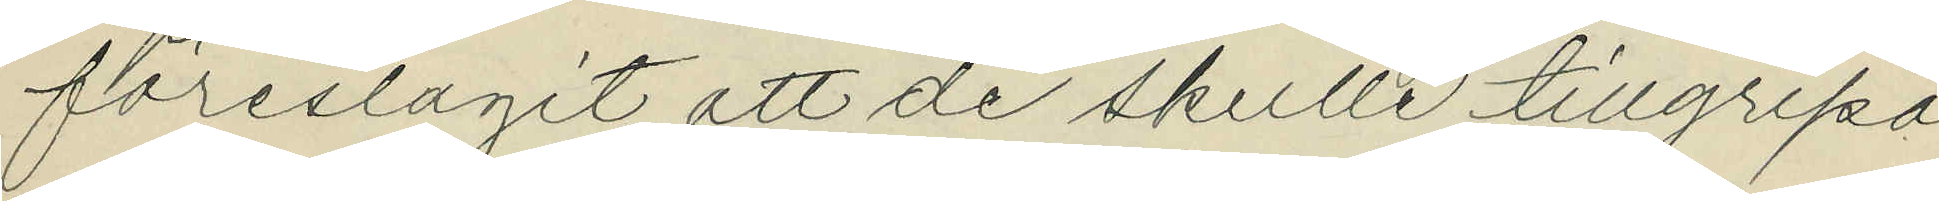föreslagit att de skulle tillgripa
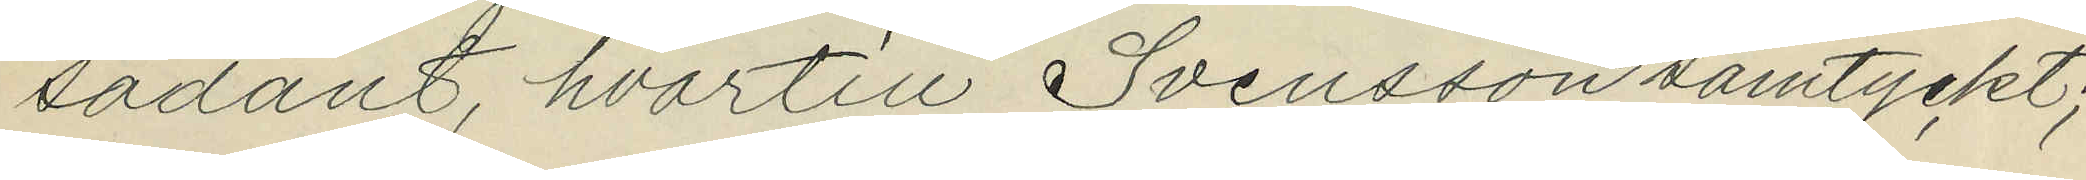sådant, hvartill Svensson samtyckt;
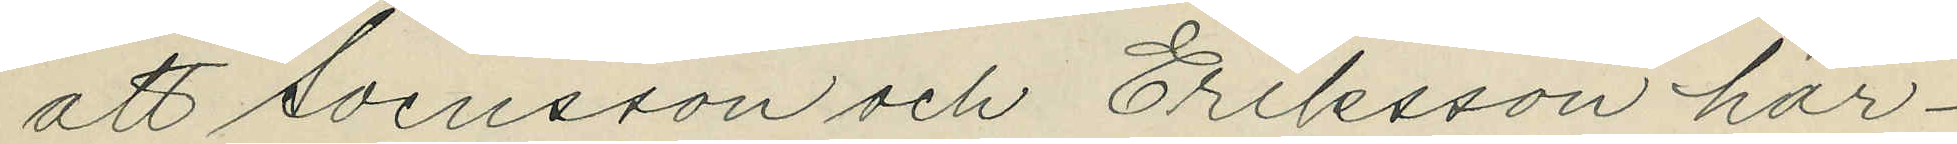att Svensson och Eriksson här¬
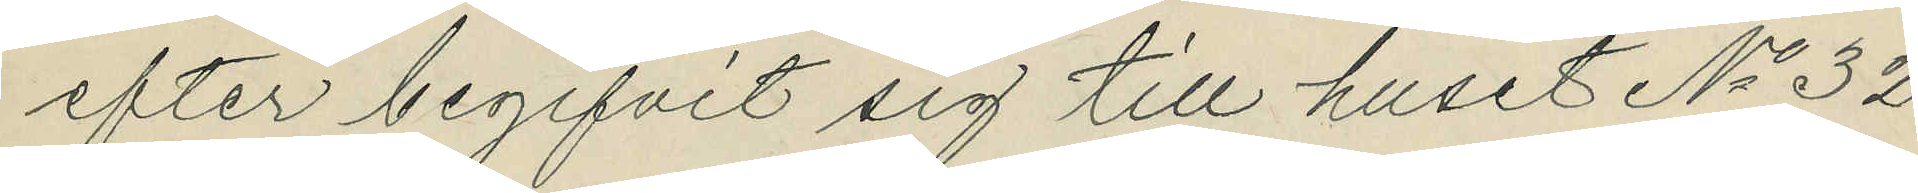efter begifvit sig till huset No 32
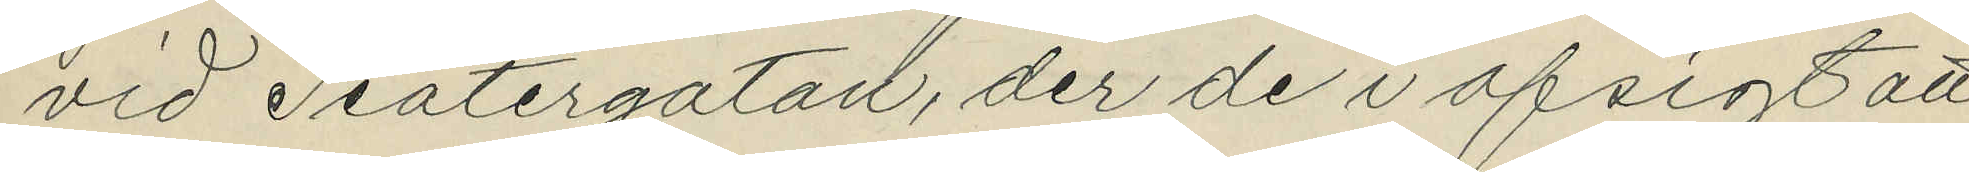vid Teatergatan, der de i afsigt att
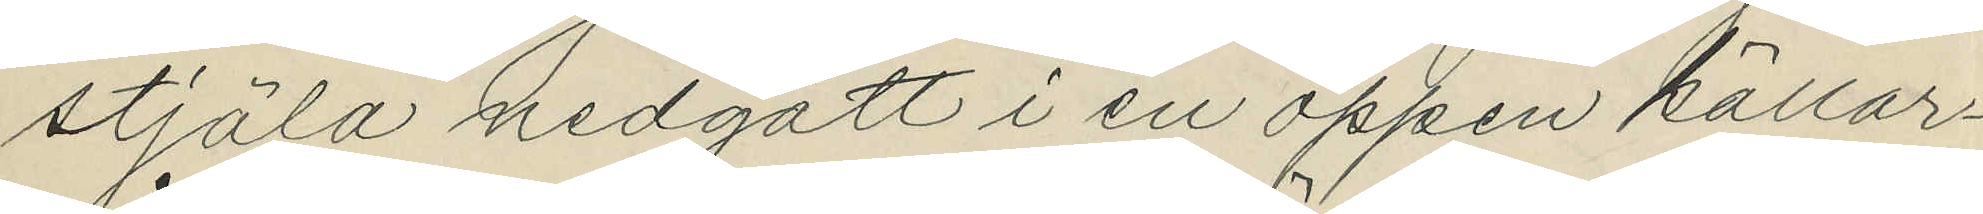stjäla nedgått i en öppen källar¬
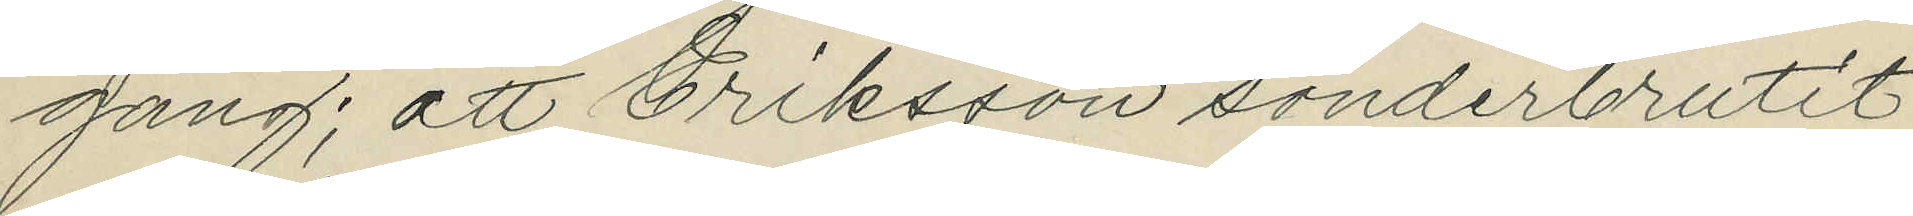gång; att Eriksson sönderbrutit
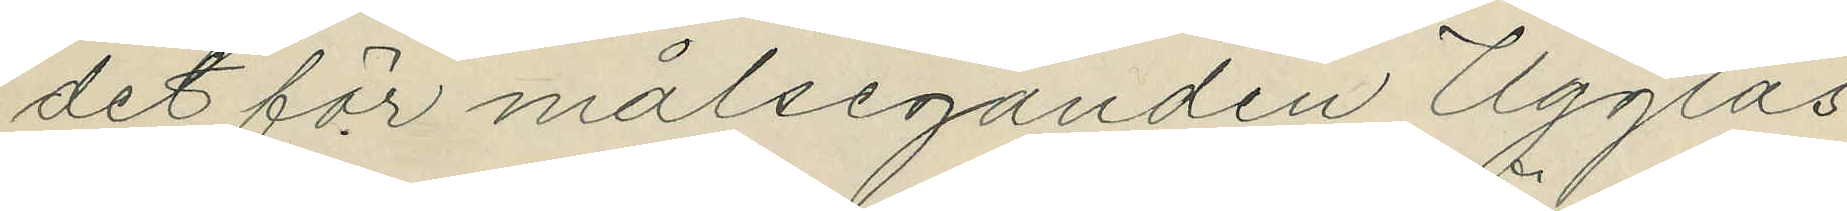det för målseganden Ugglas
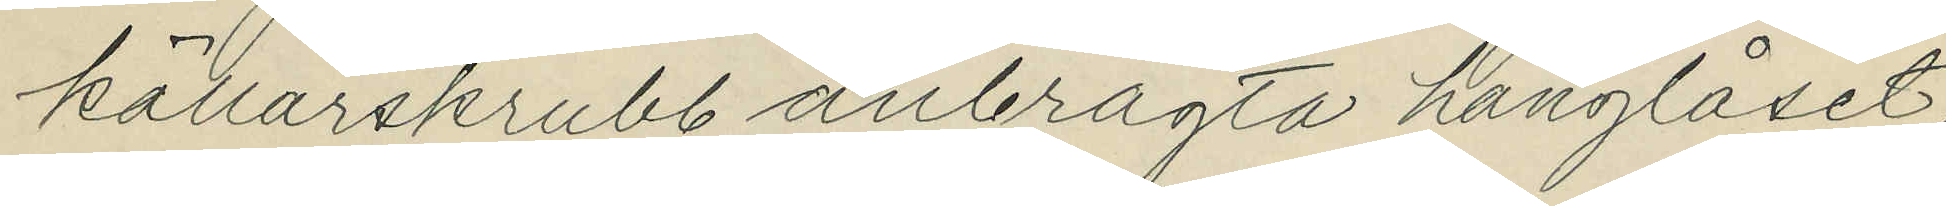källarskrubb anbragta hänglåset,
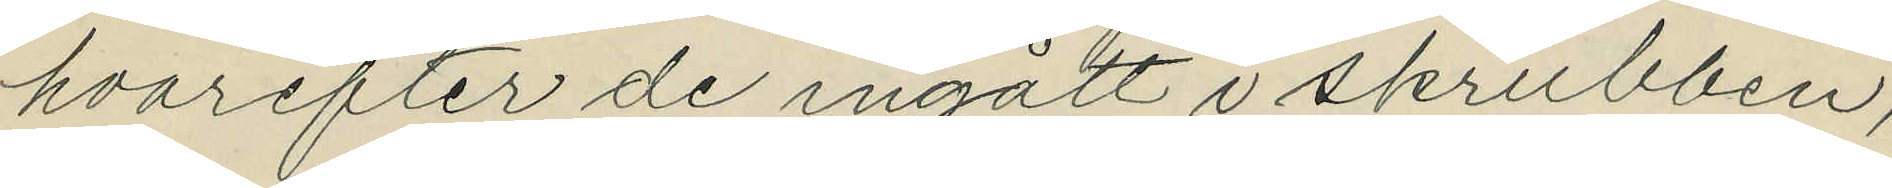hvarefter de ingått i skrubben,
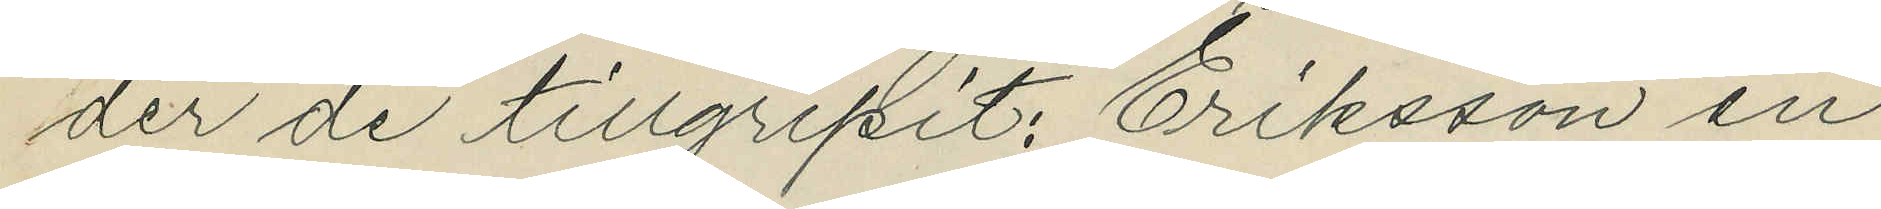der de tillgripit: Eriksson en
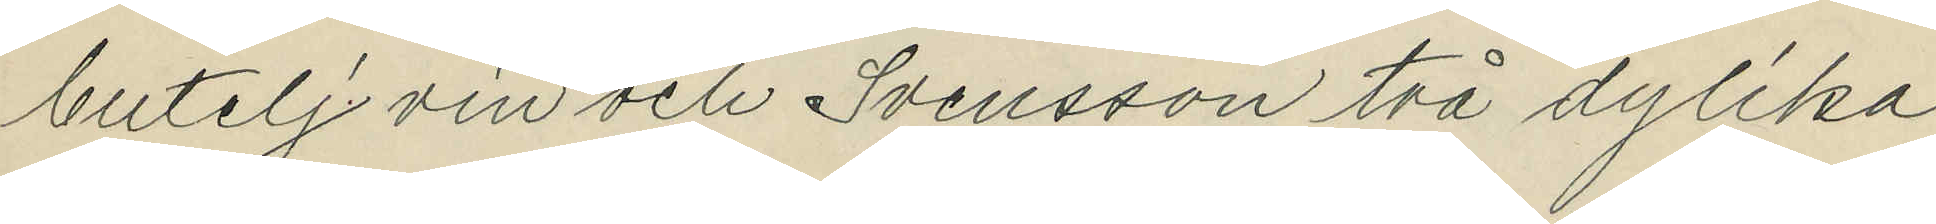butelj vin och Svensson två dylika
